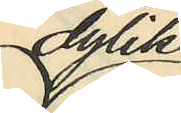dylik
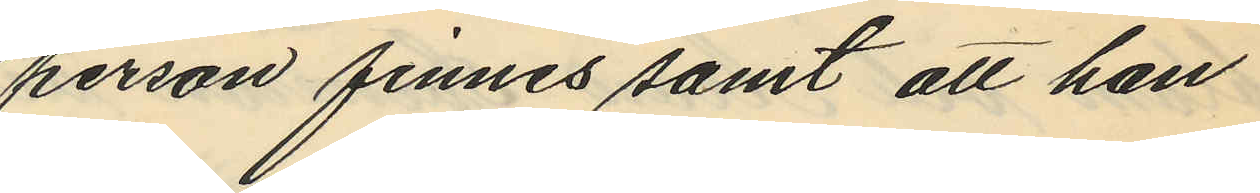person finnes samt att han
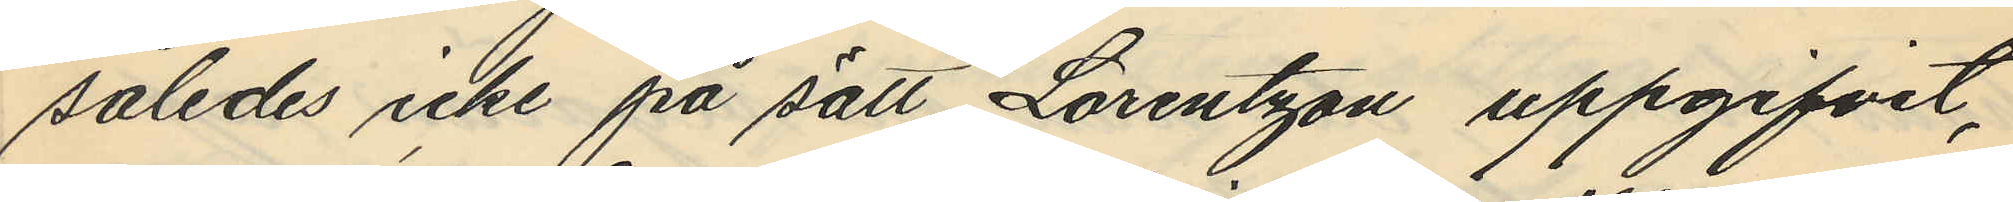således icke på sätt Lorentzon uppgifvit,
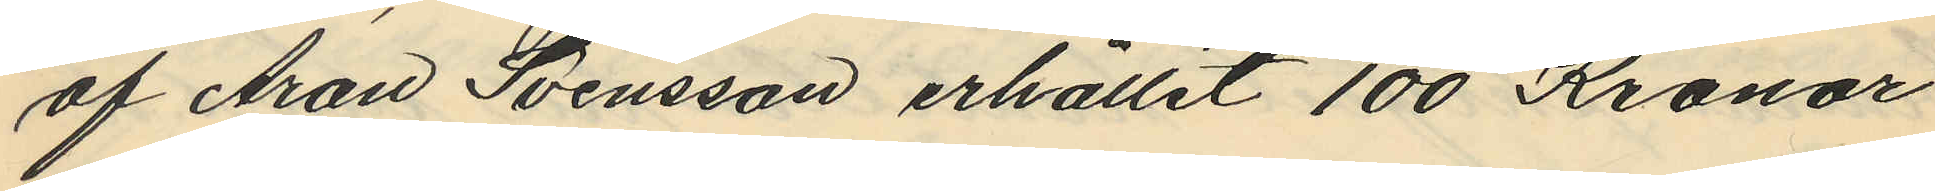af Aron Svensson erhållit 100 Kronor
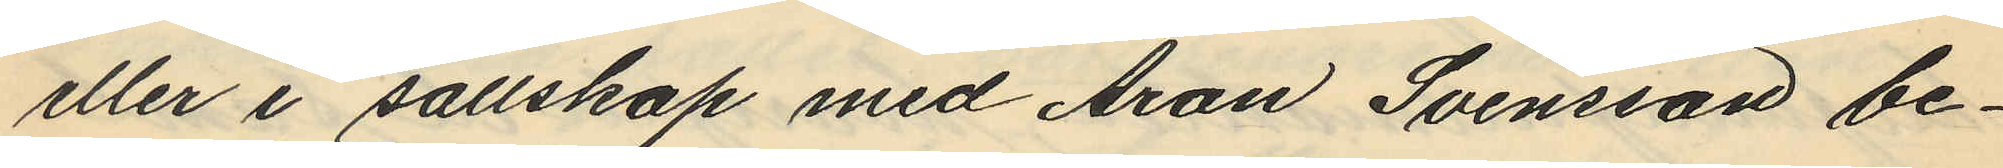eller i sällskap med Aron Svensson be¬
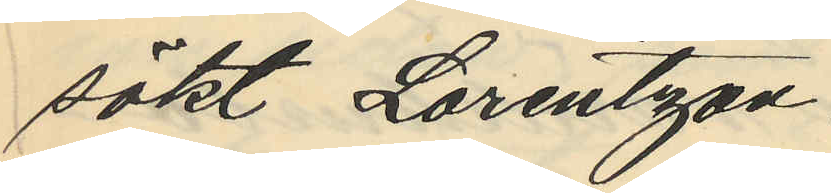sökt Lorentzon.
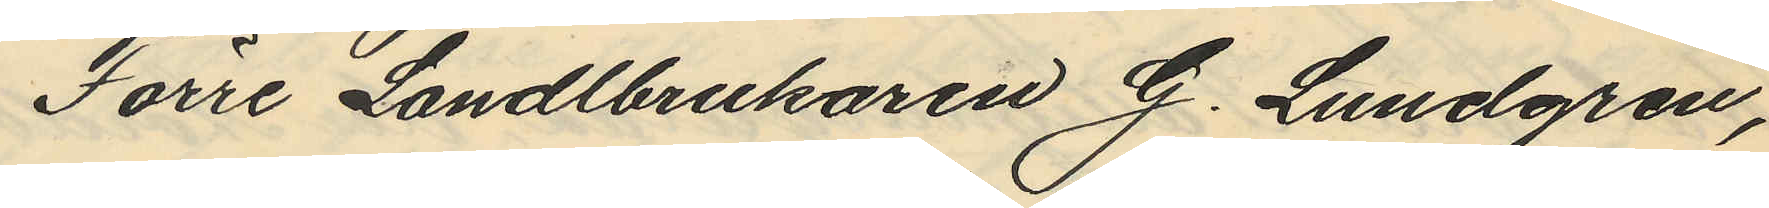Förre Landlbrukaren G. Lundgren,
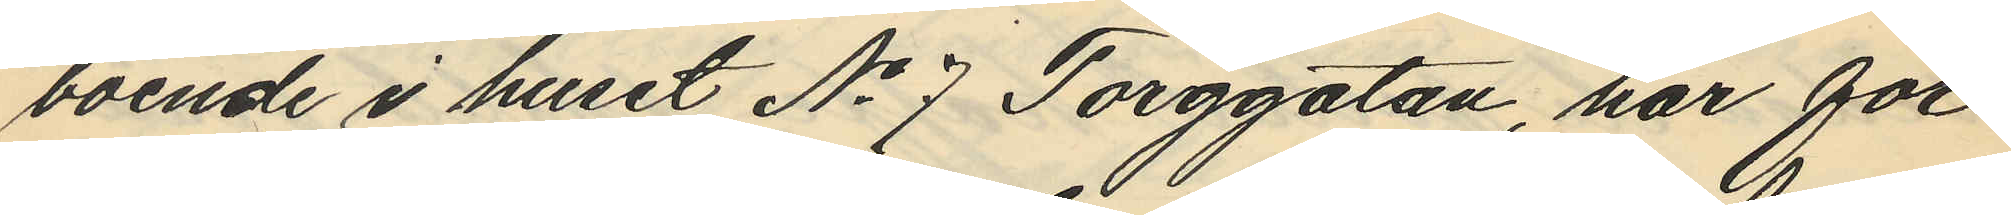boende i huset No 7 Torggatan, har för¬
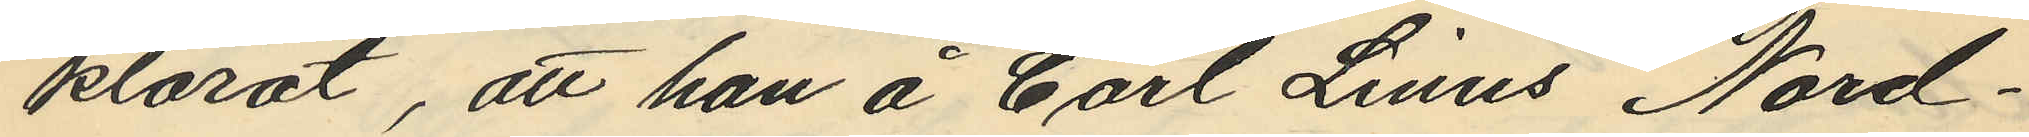klarat, att han å Carl Linus Nord¬
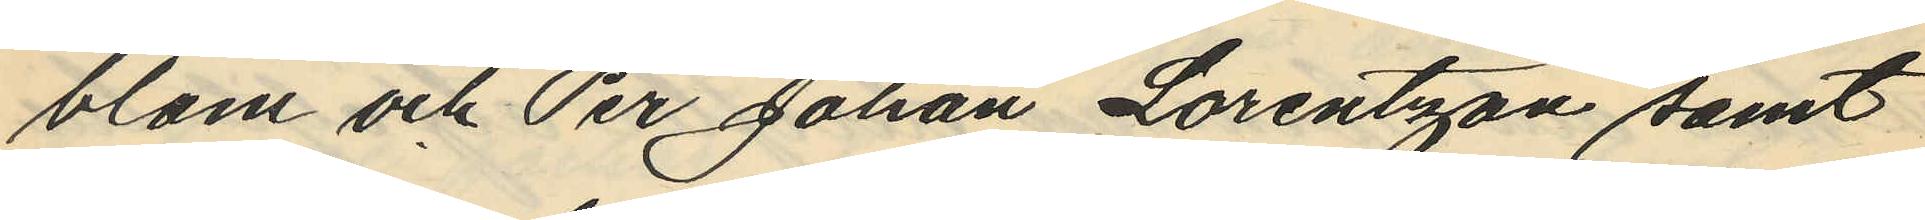blom och Per Johan Lorentzon samt
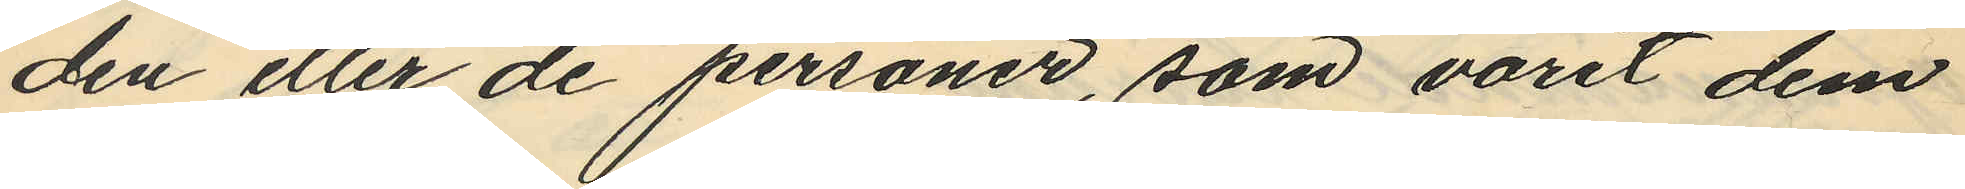den eller de personer, som varit dem
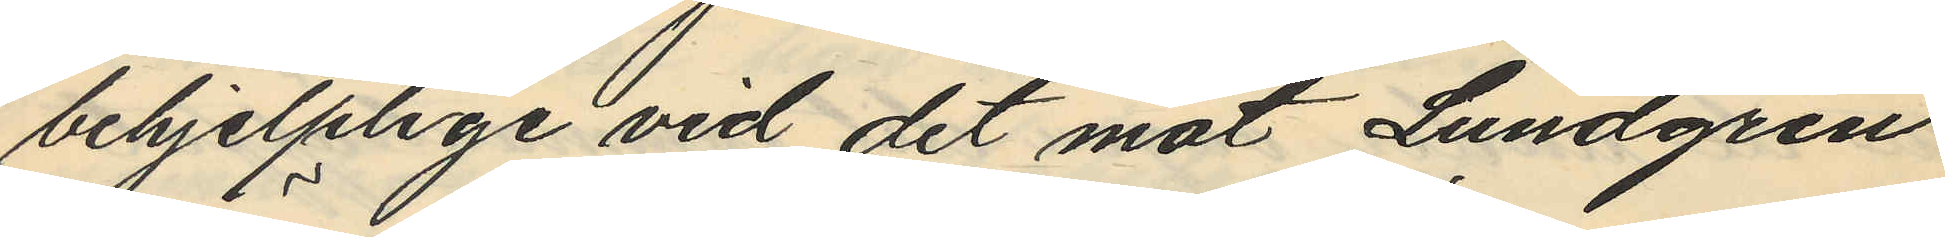behjelplige vid det mot Lundgren
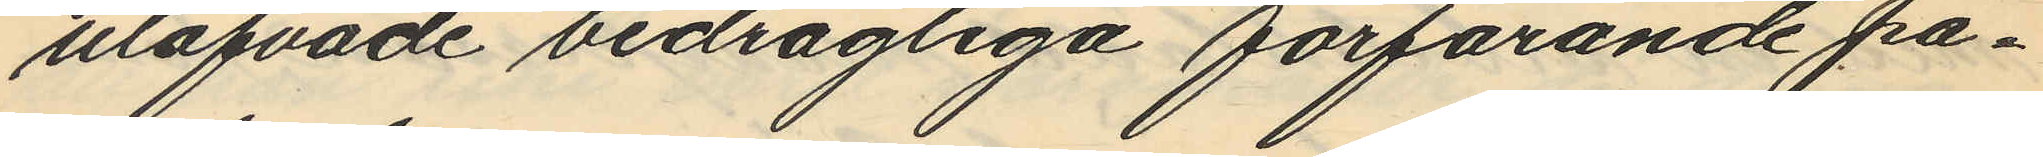utöfvade bedrägliga förfarande på¬
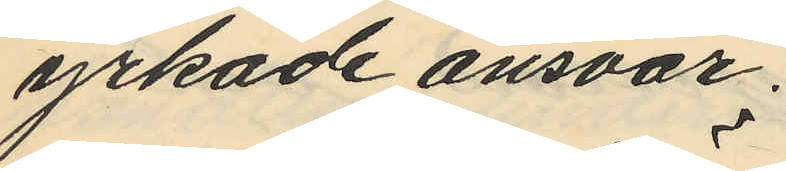yrkade ansvar;
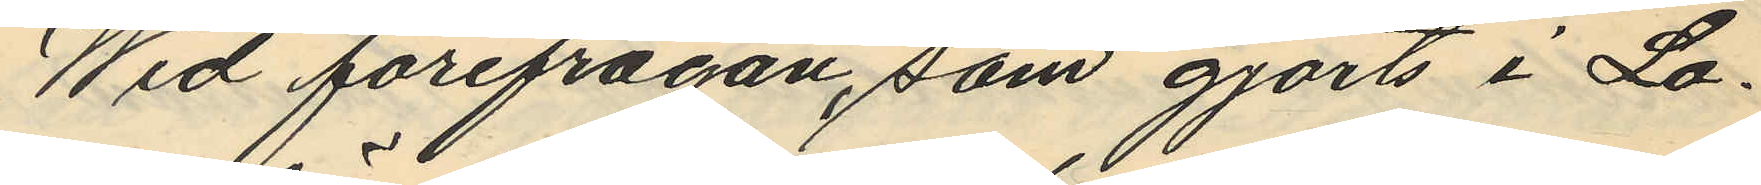Wid förefrågan, som gjorts i Lo¬
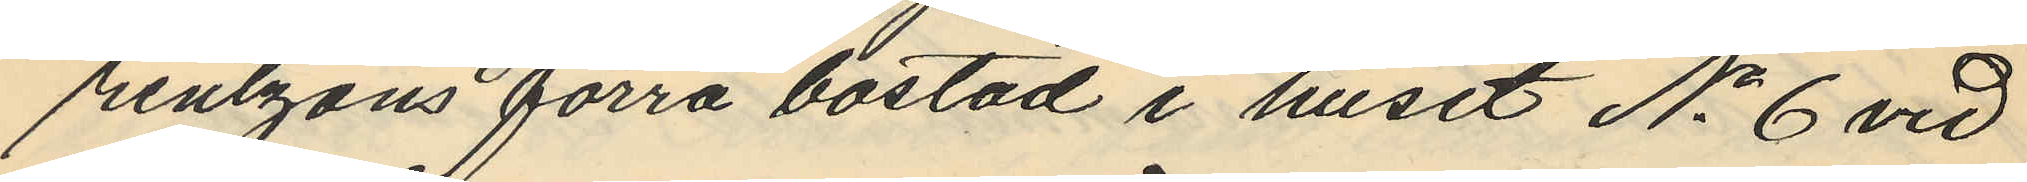rentzons förra bostad i huset No 6 vid
